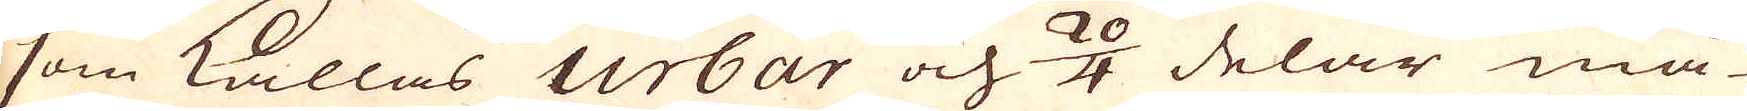som kallas Urbar och 24 delar må-
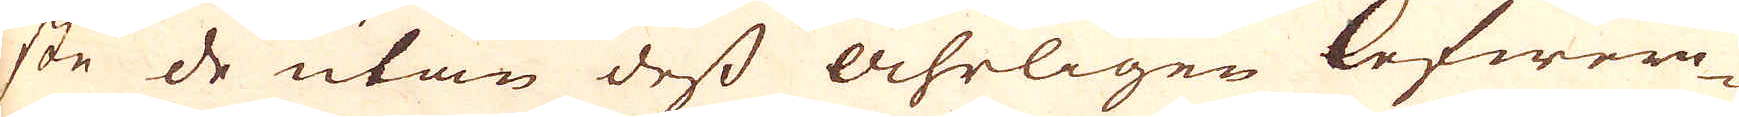ste de utan dess Åhrligen lefwere-
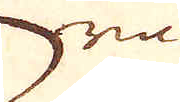ra
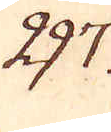297.
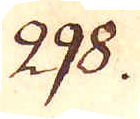298.
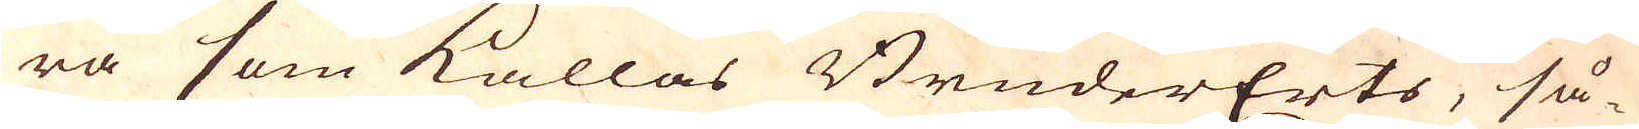ra som kallas BruderErts, så-
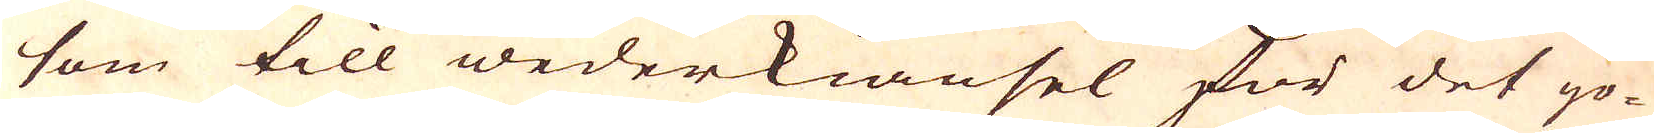som till wederkiänsel för det go-
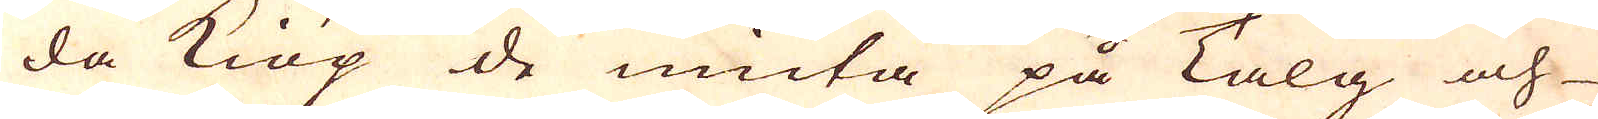da kiöp de niuta på Talg och
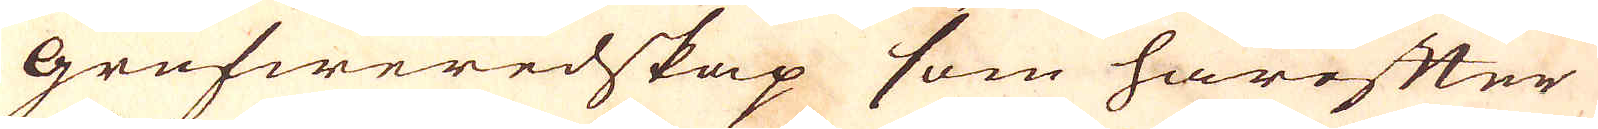grufweredskap som härefter
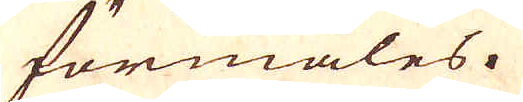förmäles.
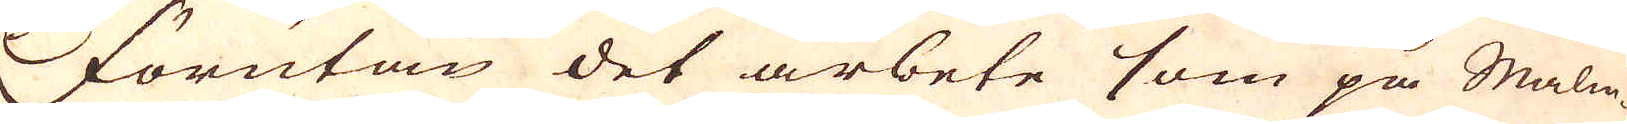Förutan det arbete som på Malm-
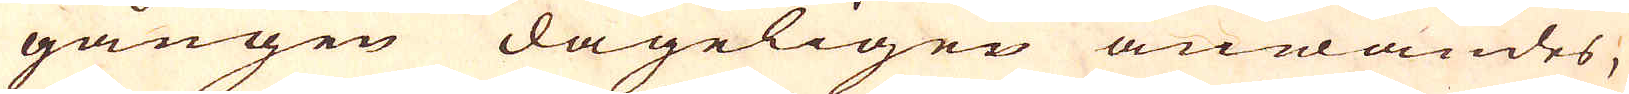gången dageligen anwändes,
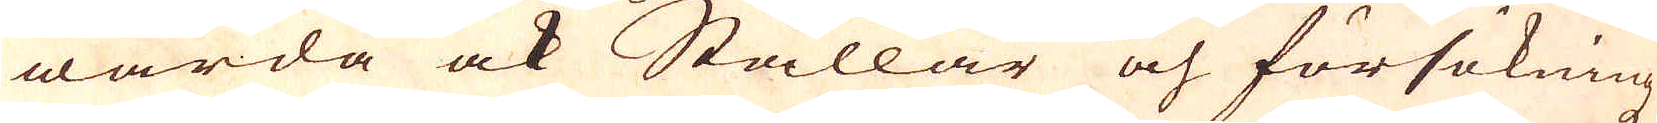warda ock Stållar och försökningz
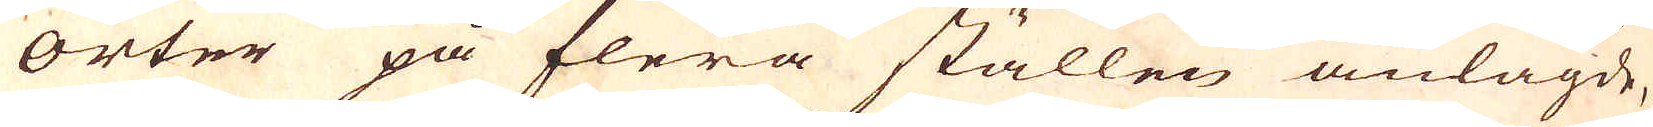orter på flera ställen anlagde,
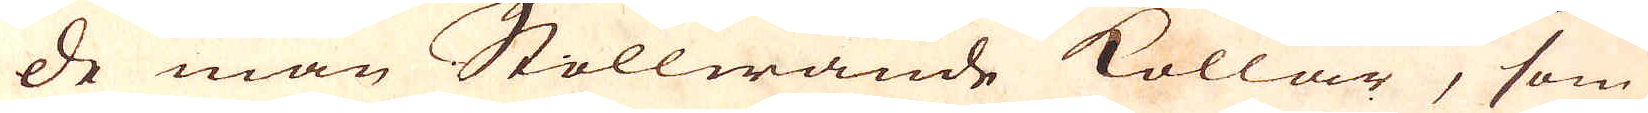de man Stollwände kollar, som
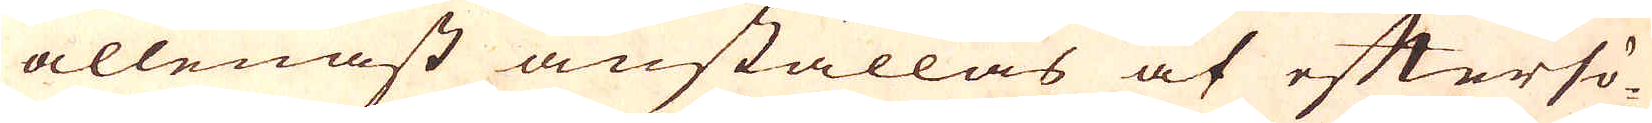allenast anställas af eftersö-
